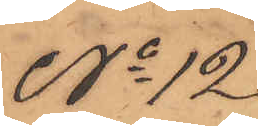No 12
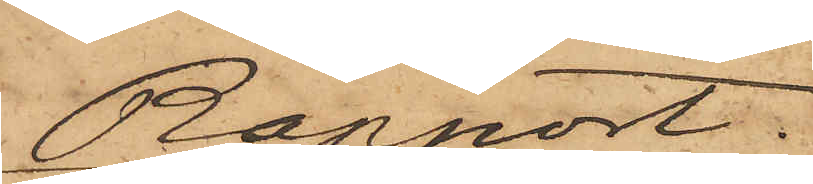Rapport.
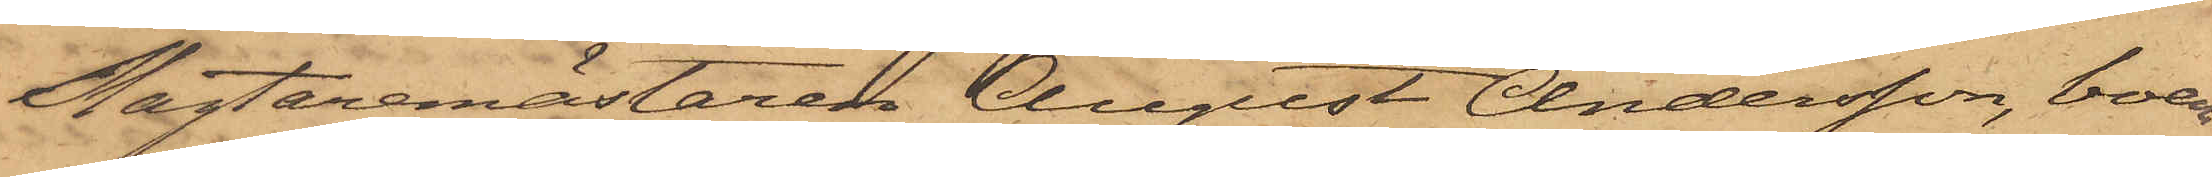Slagtaremästaren August Andersson, boen¬
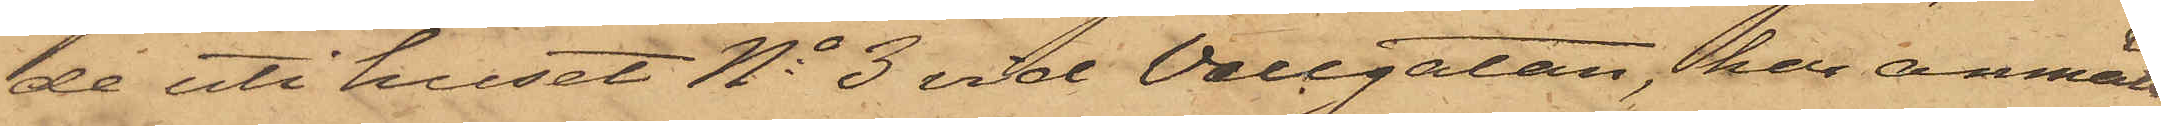de uti huset No 3 vid Vallgatan, har anmält
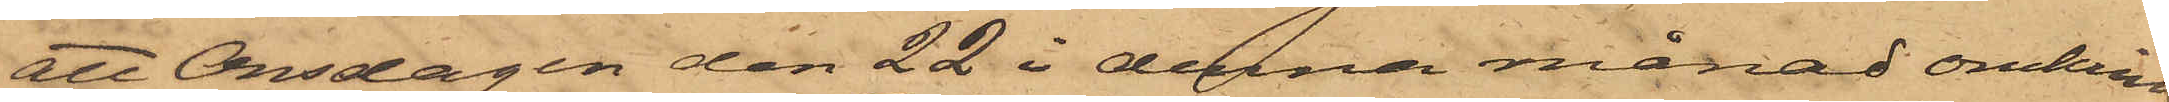att Onsdagen den 22 i denna månad onkring
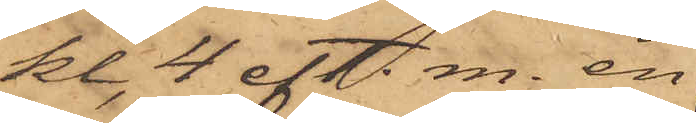kl. 4 eft. m. en
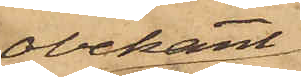obekant
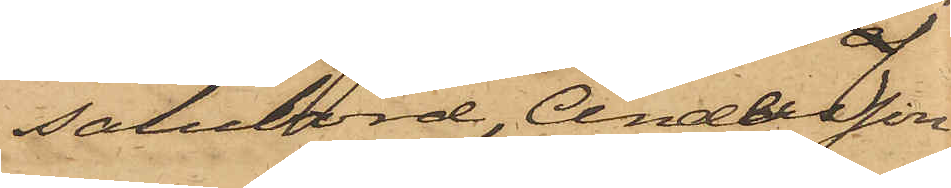salubord, Andersson
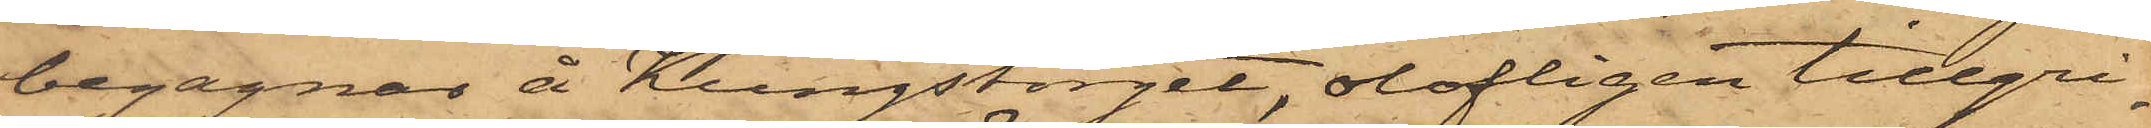begagnar å Kungstorget, olofligen tillgri¬
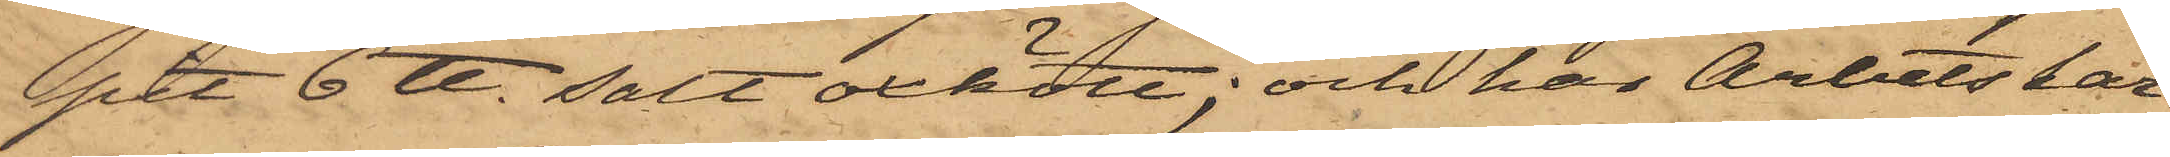pit 6 ℔ salt oxkött; och har Arbetskar¬
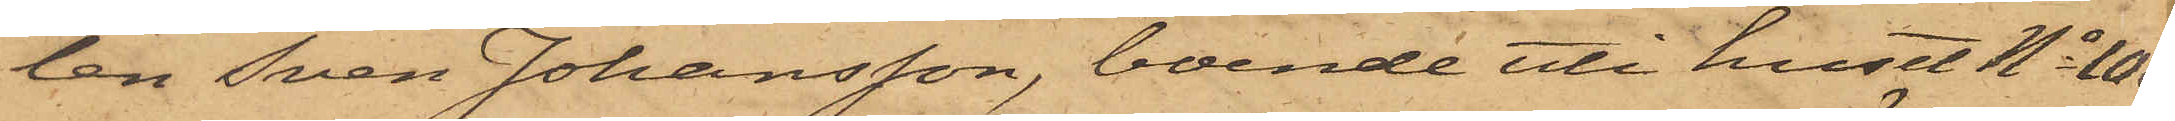len Sven Johansson, boende uti huset No 103
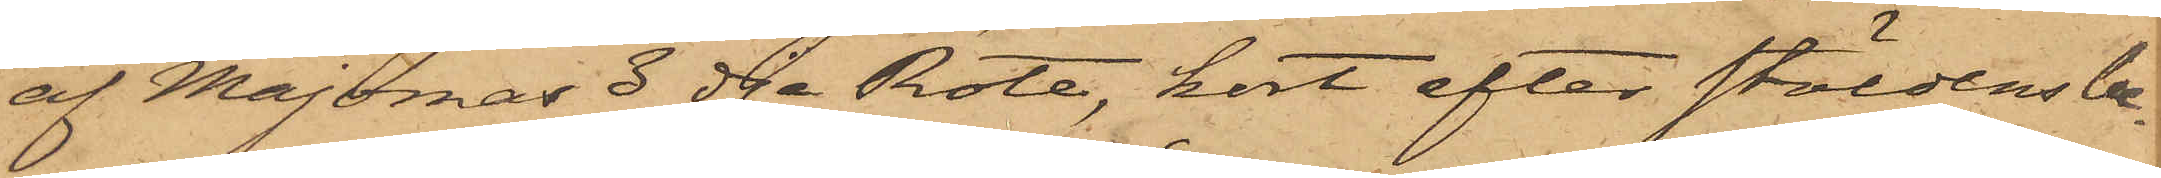af Majornas 3dje Rote, kort efter stöldens be¬
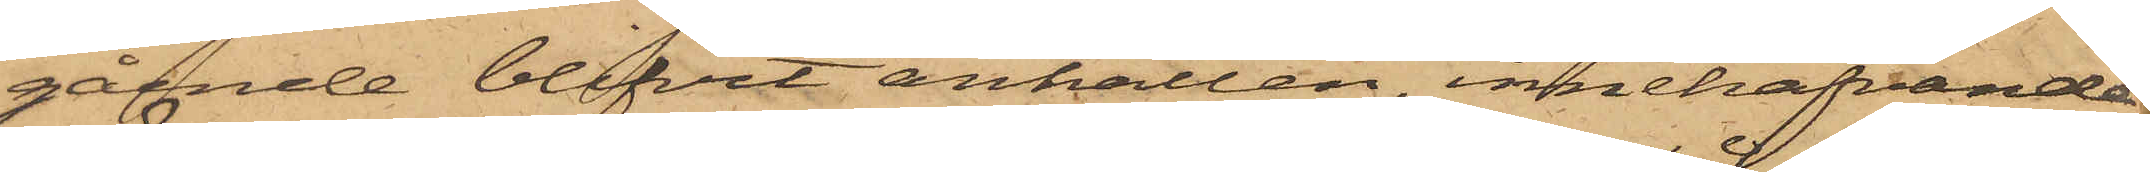gående blifvit anhållen, innehafvande
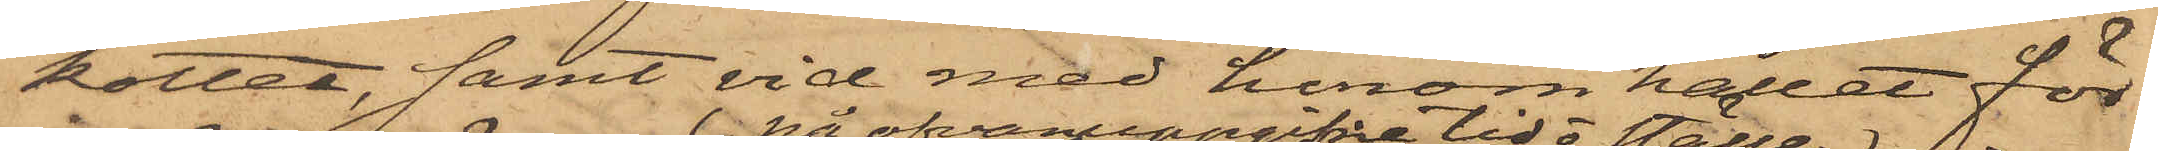köttet samt vid med honom hållet för¬
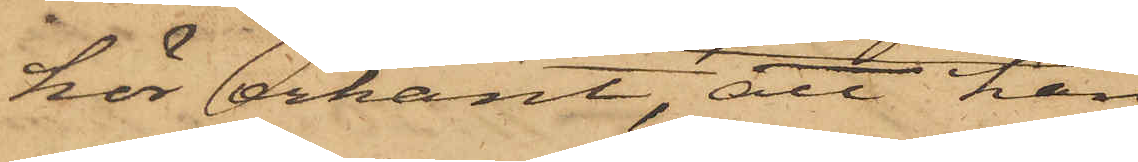hör erkänt; att han
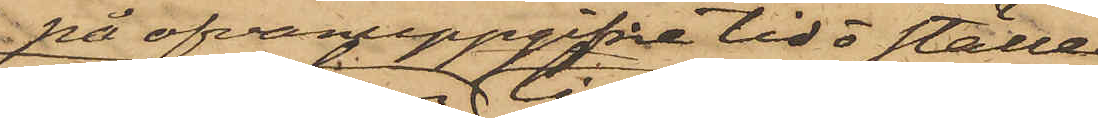på ofvanuppgifne tid o ställe
